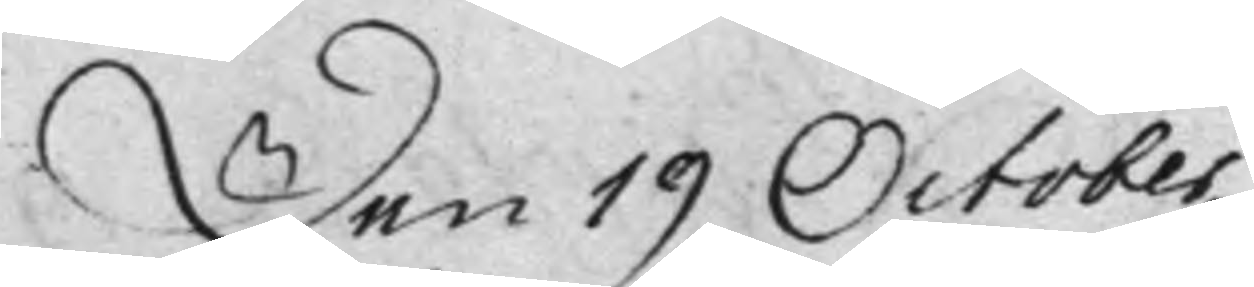Den 19 October.
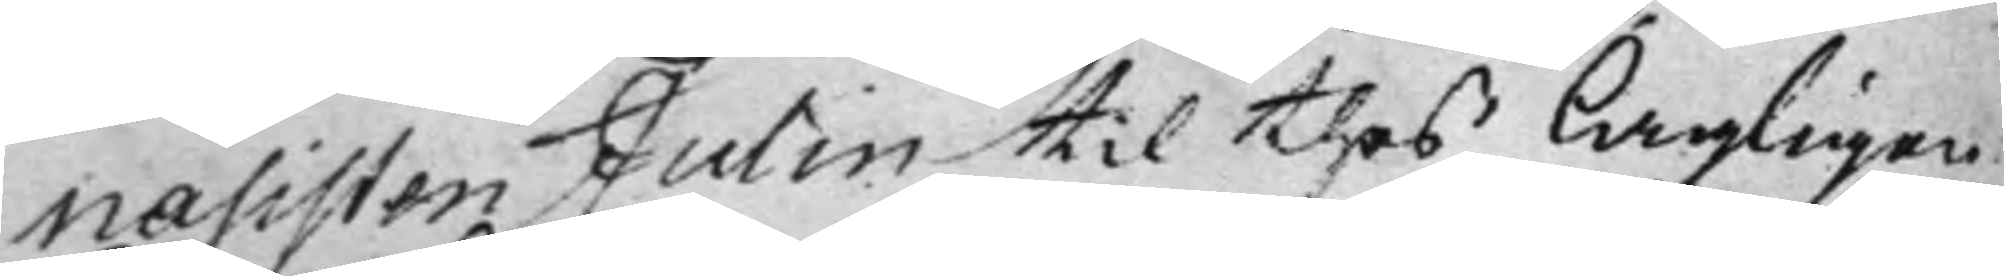nasisten Julin, til thes lagligen
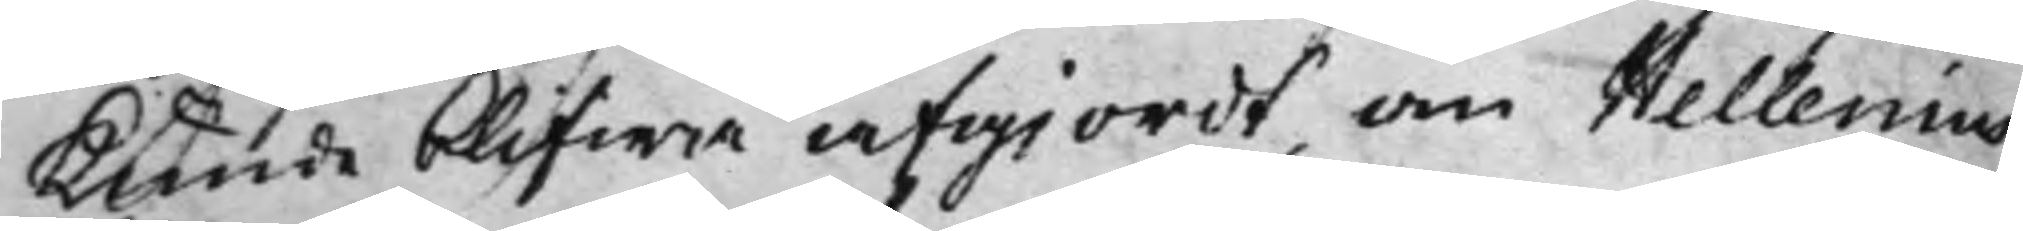kunde blifwa afgiordt, om Hellenius
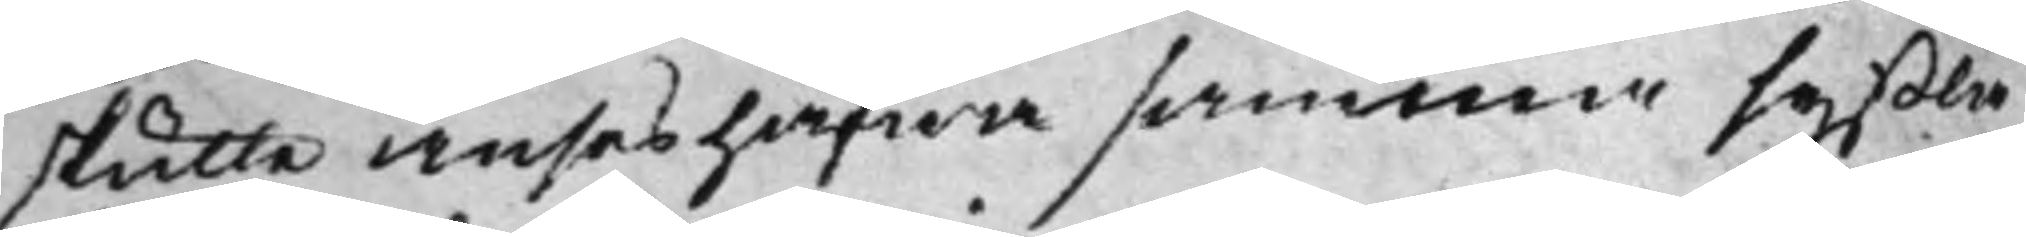skutle anses hafwa samma syßla
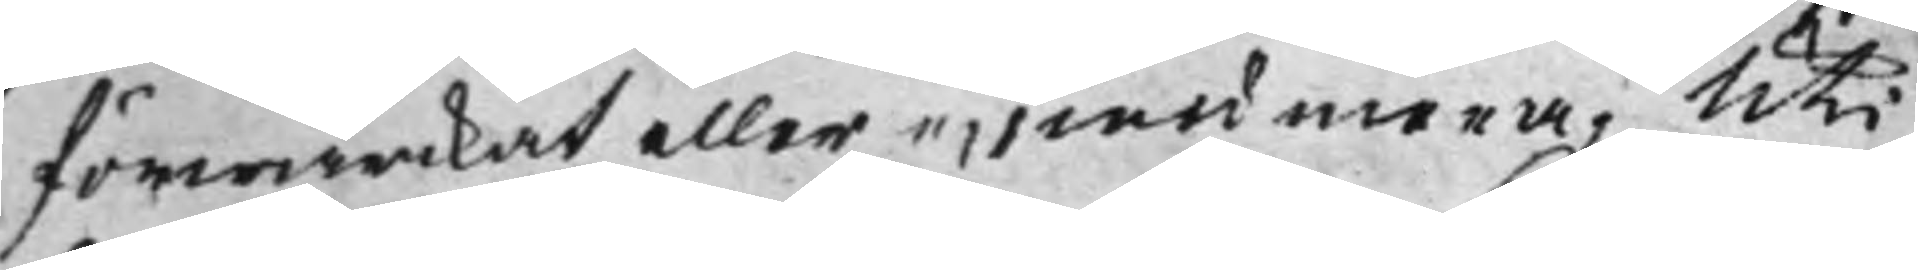förwärckat eller ei, med mera; Uti
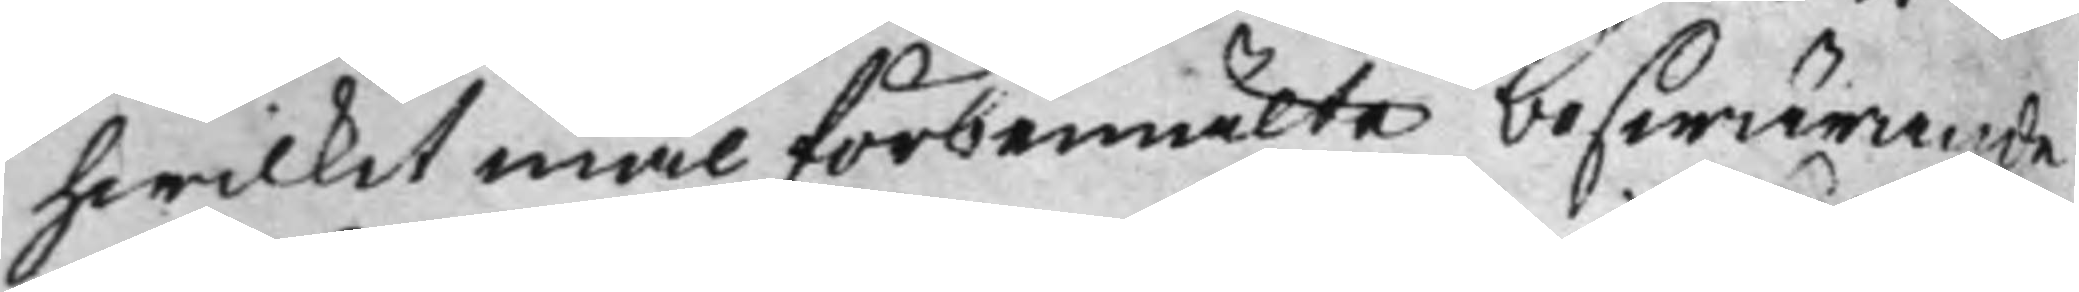hwilket mål förbemälte beswärande
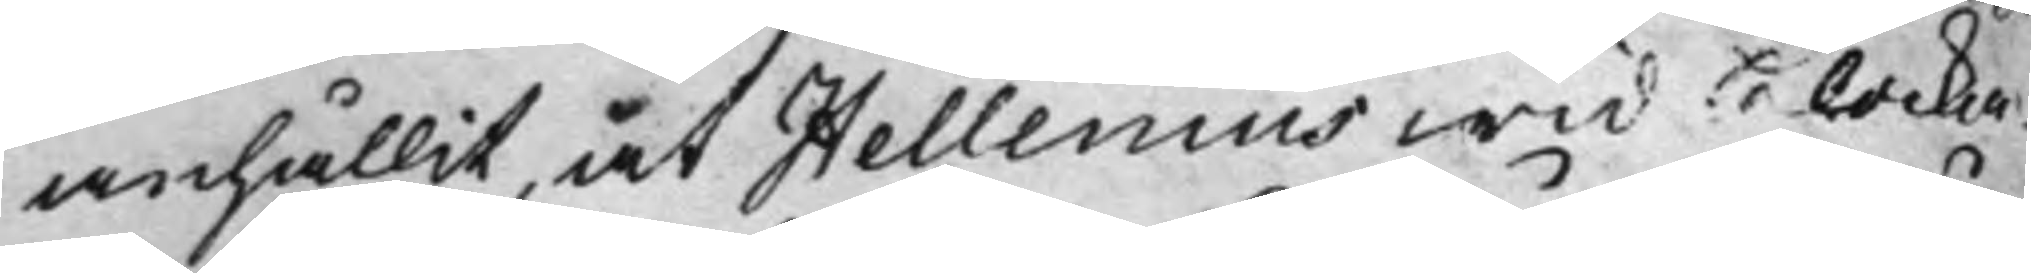anhållit, at Hellenius wid klocka¬
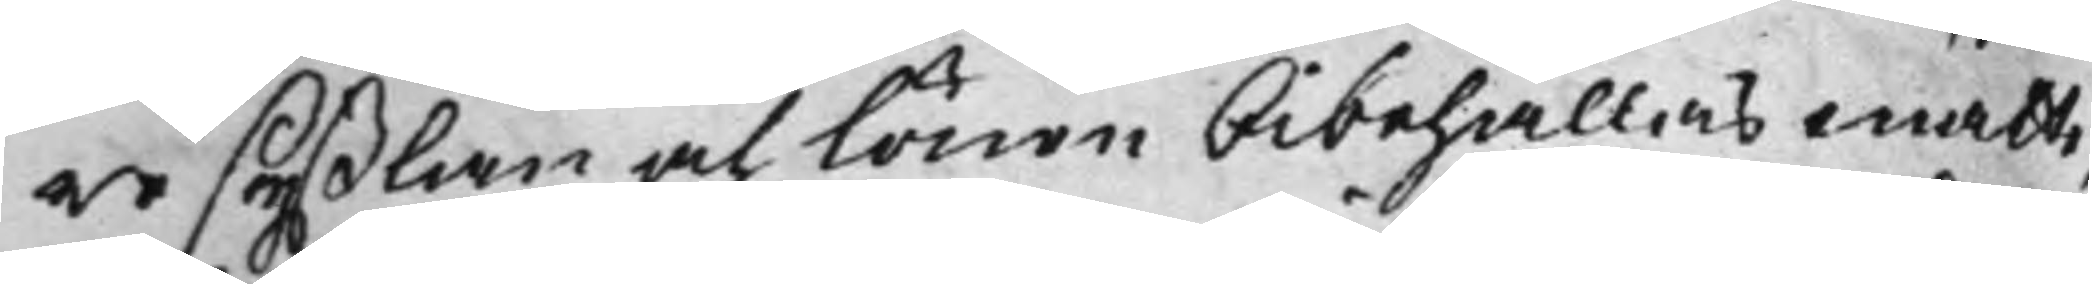re syßlan och lönen bibehållas måtte,
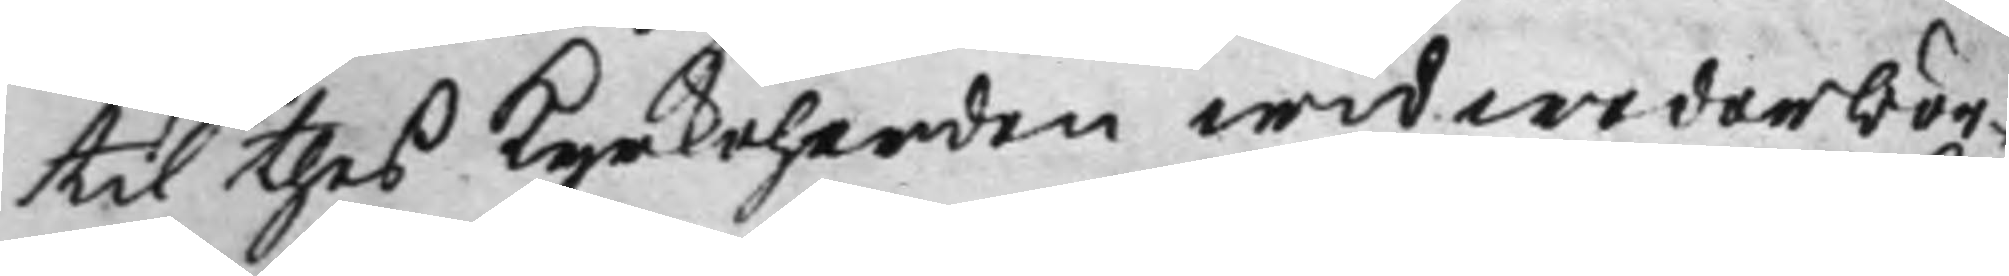til thes Kyrkoherden wid wederbör¬
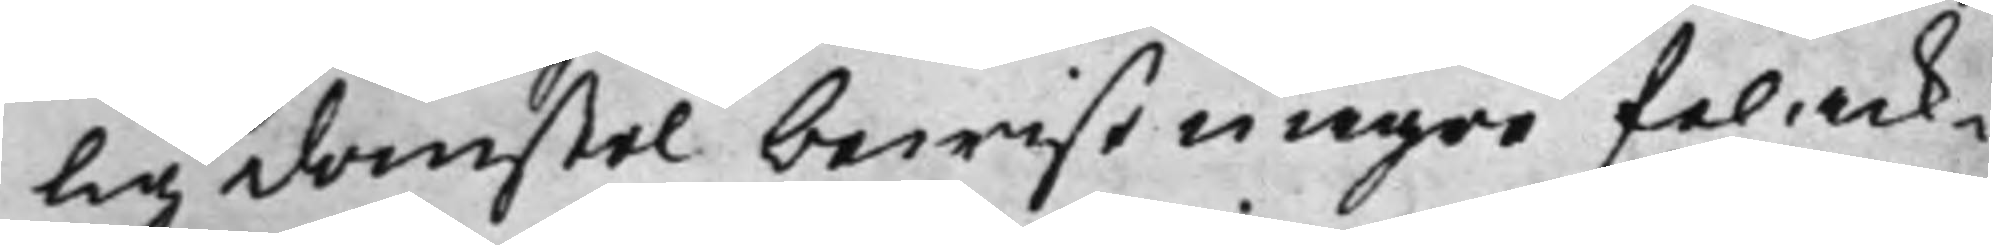lig domstol bewist någre felack¬
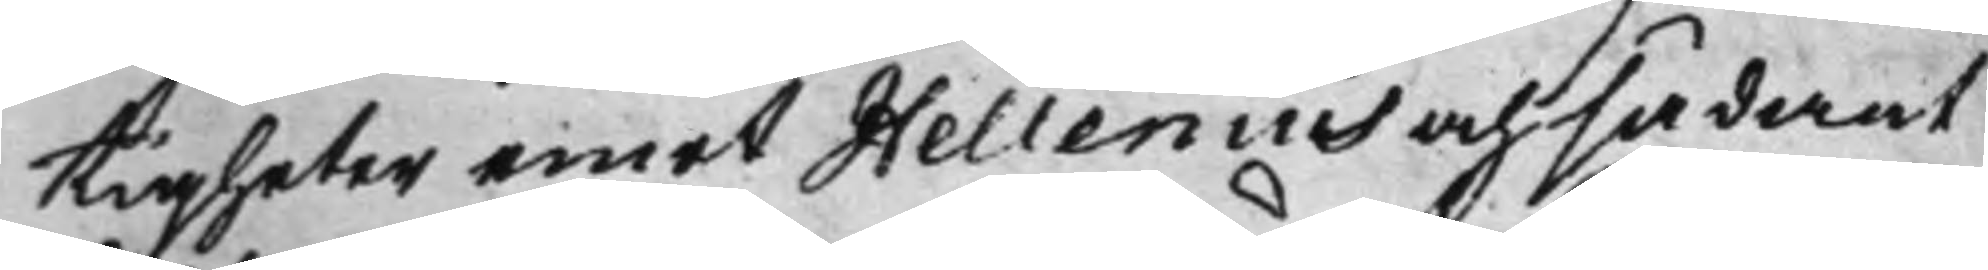tigheter emot Hellenius och sådant
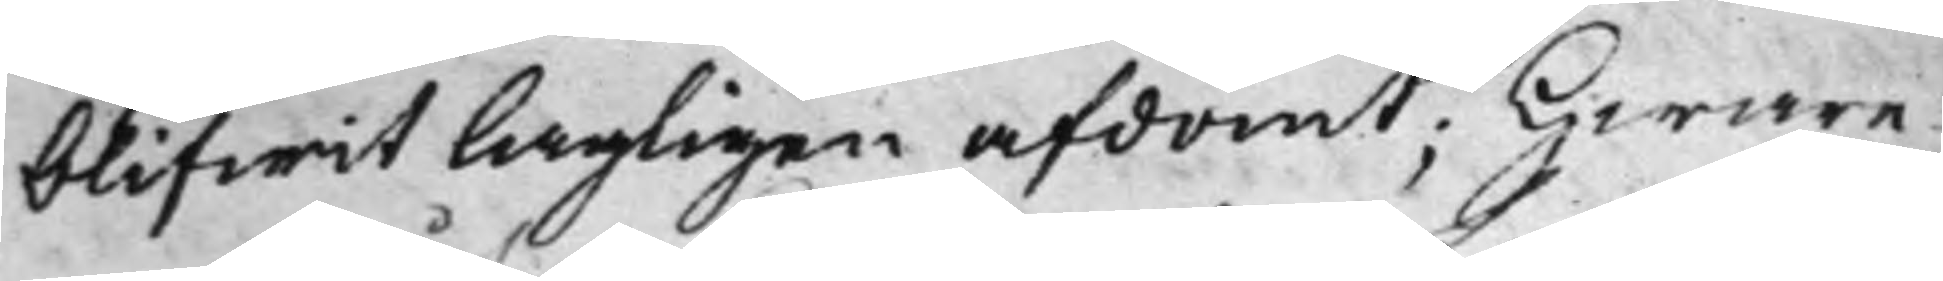blifwit lagligen afdömt: Hware¬
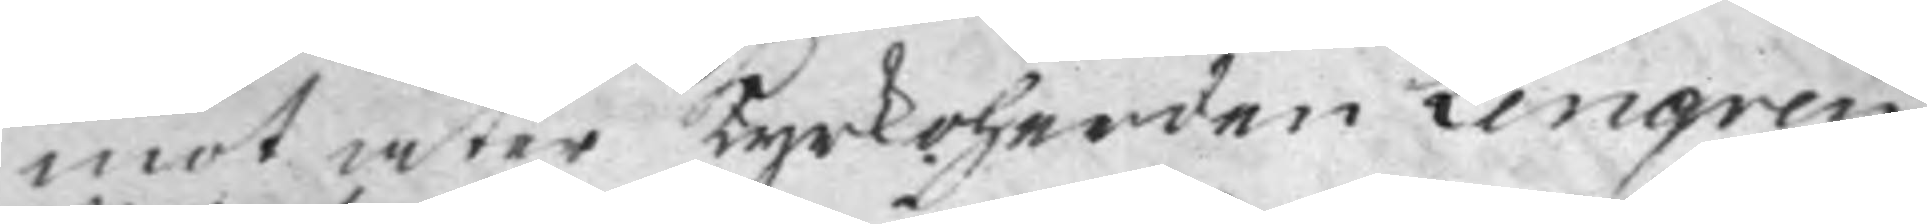mot åter Kyrkoherden Lengren
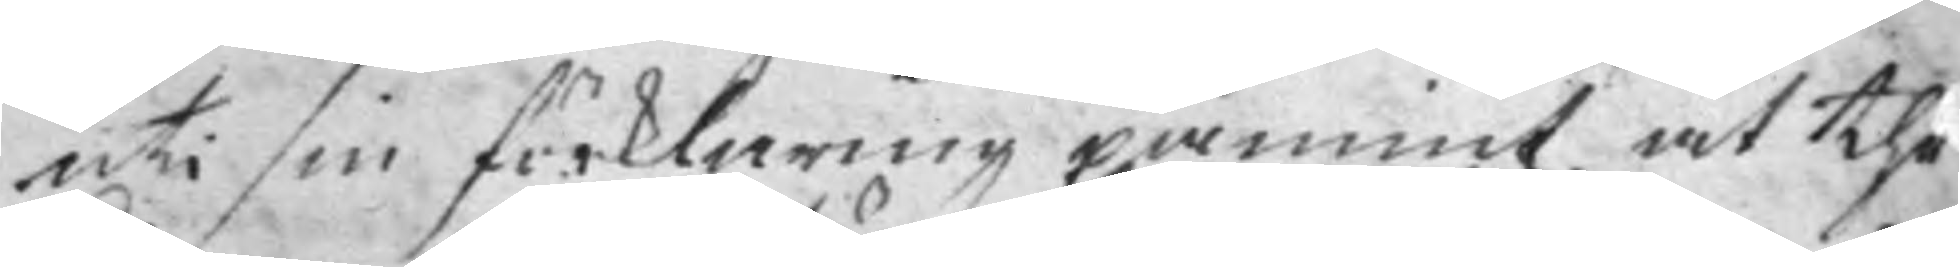uti sin förklaring påmint, at the
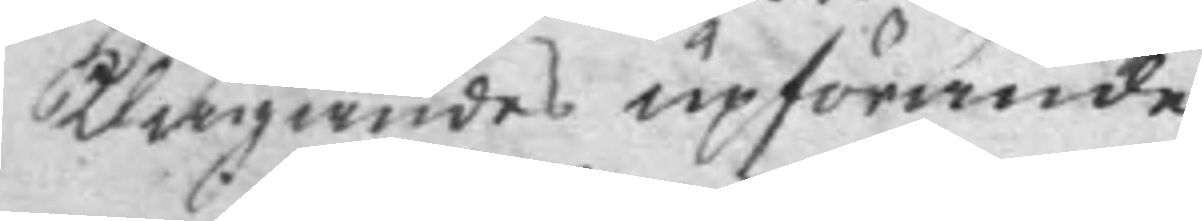klagandes upförande
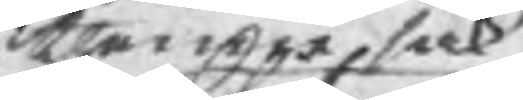i thenne sak
